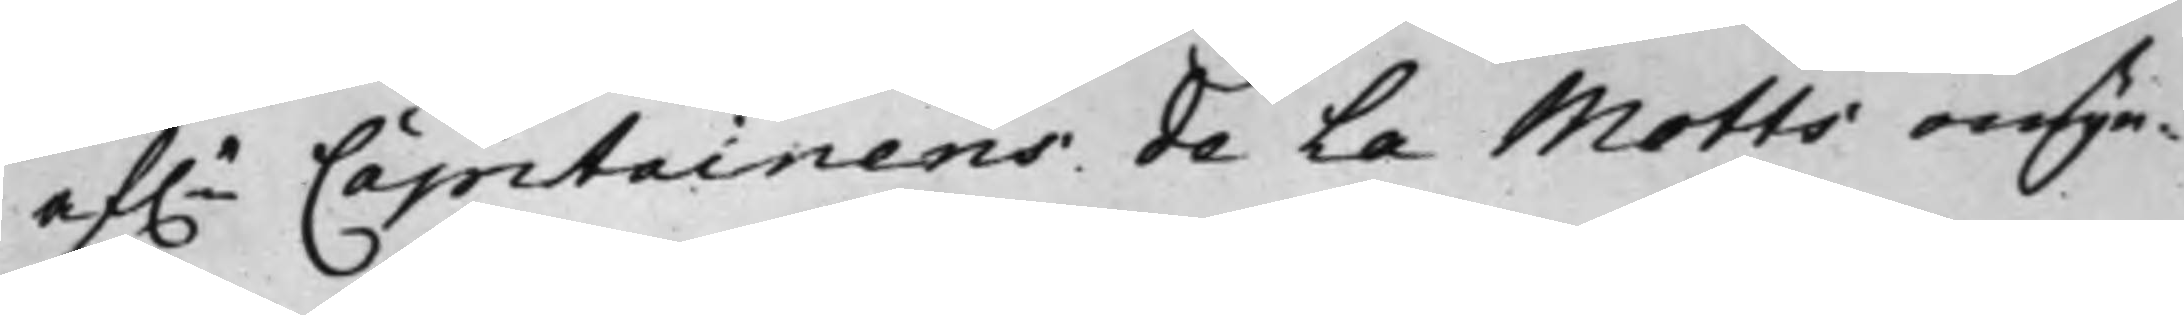af.e Capitainens de La Motts omyn¬
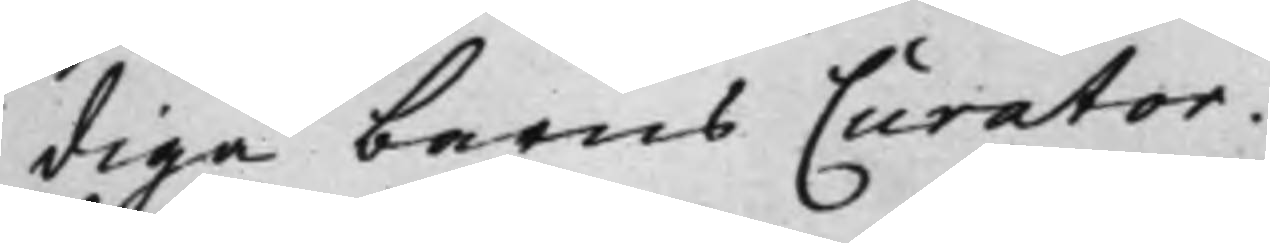diga barns Curator,
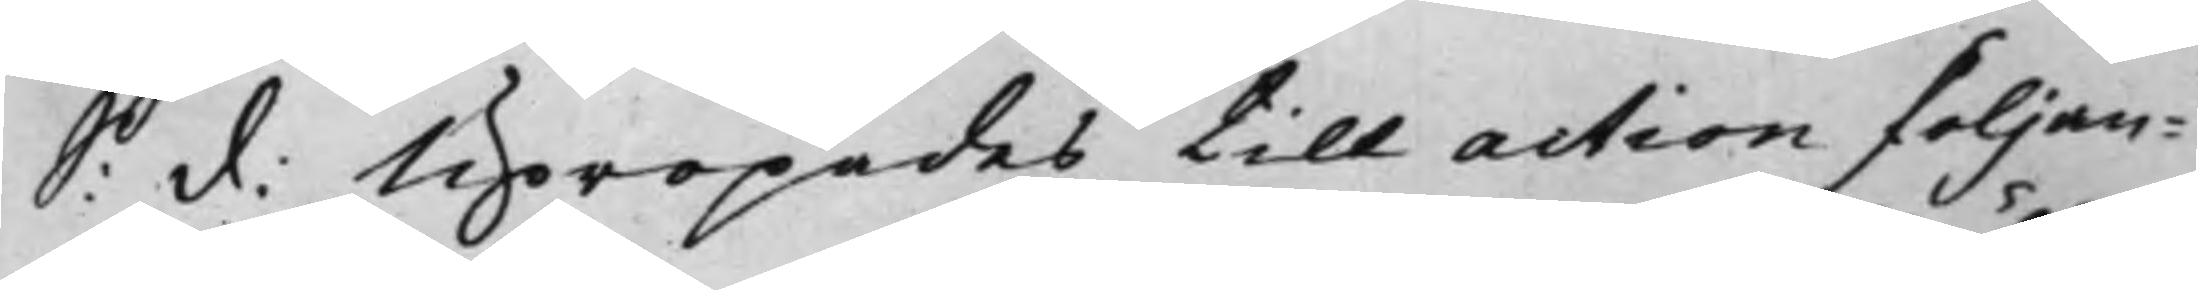S: d: Upropades till action fölljan¬
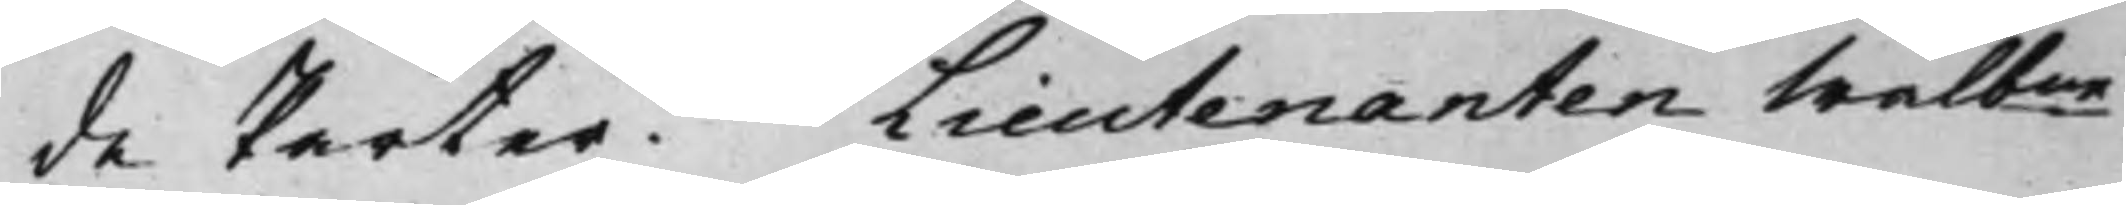de Parter. Lieutenanten Wälbne
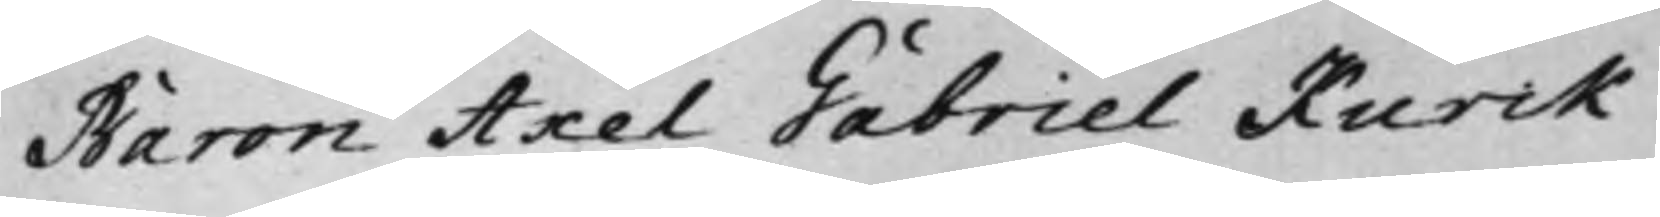Baron Axel Gabriel Kurck
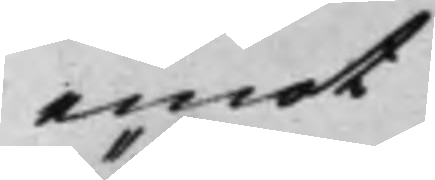emot
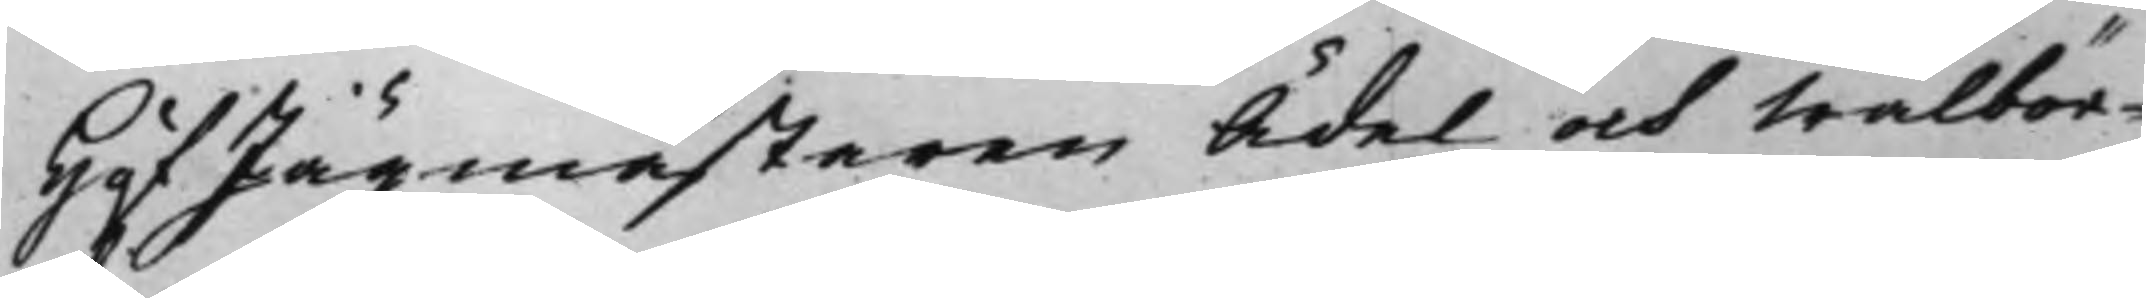HofJägmästaren Ädel och Wälbör¬
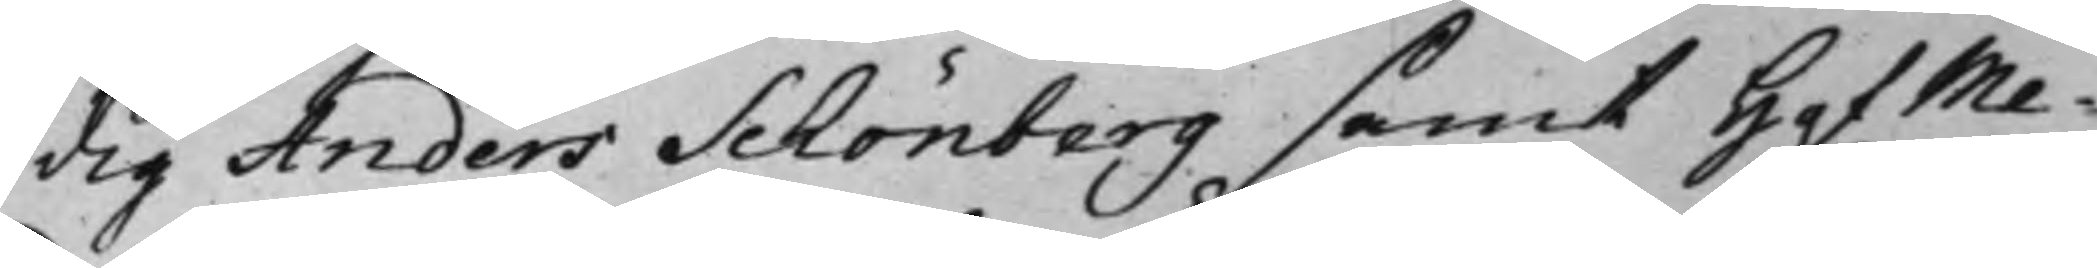dig Anders Schönberg samt HofMe¬
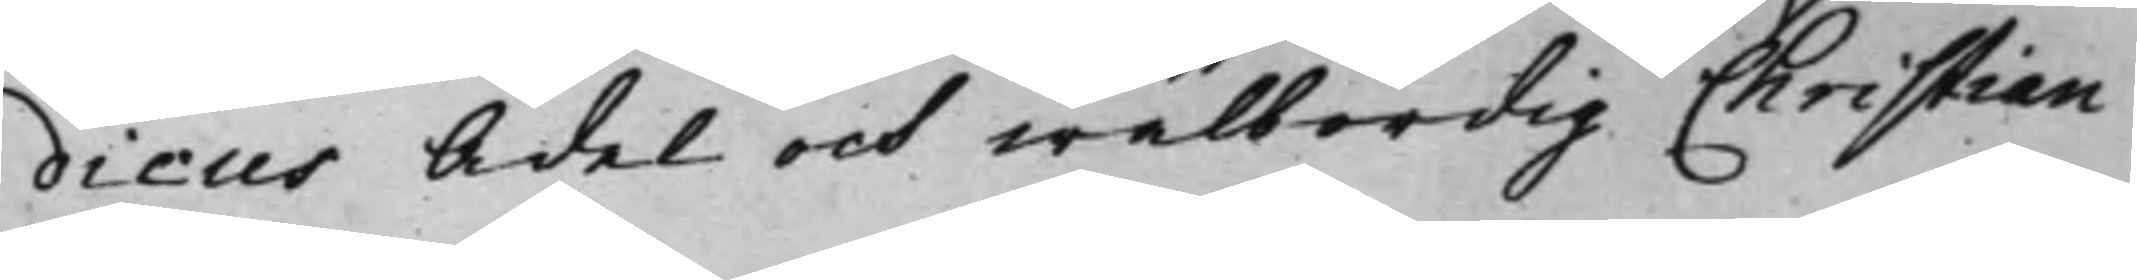dicus Ädel och wälbördig Christian
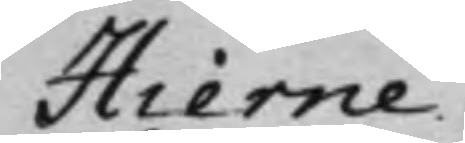Hierne.
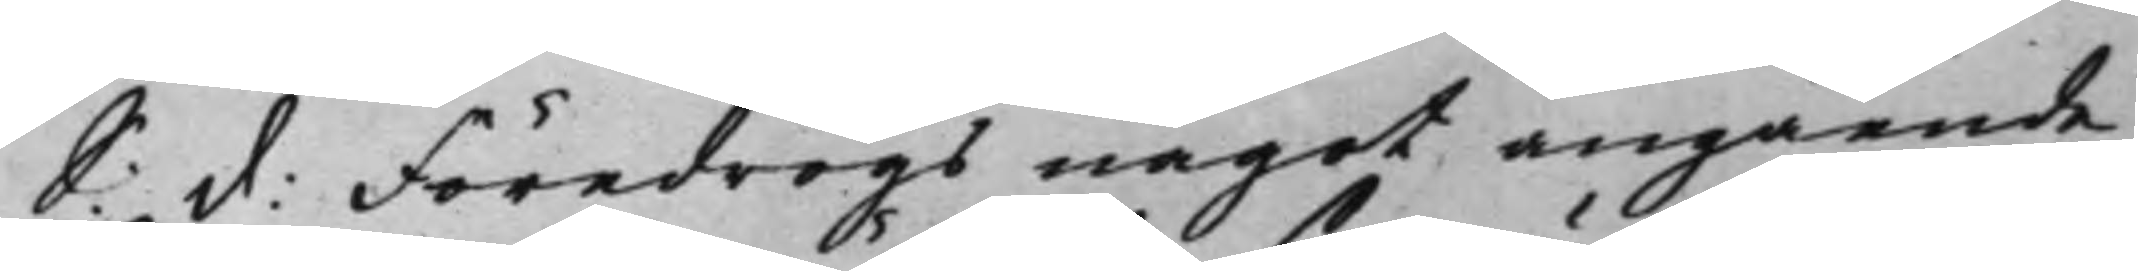S: d: Föredrogs något angående
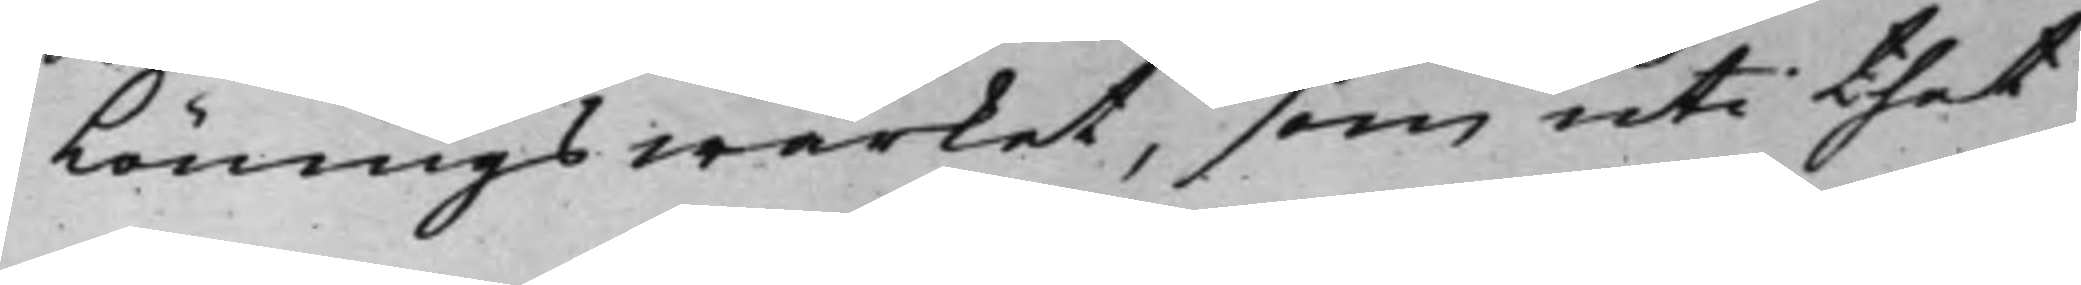Löningswärket, som uti thet
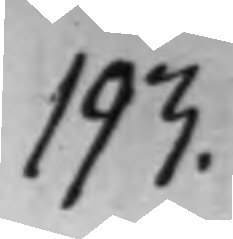193.
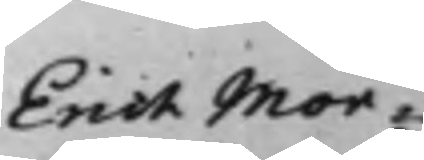Erich Mor¬
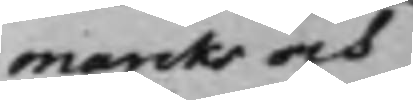marcks och
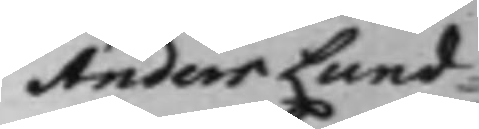Anders Lund¬
